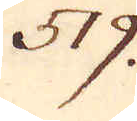519.
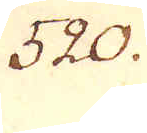520.
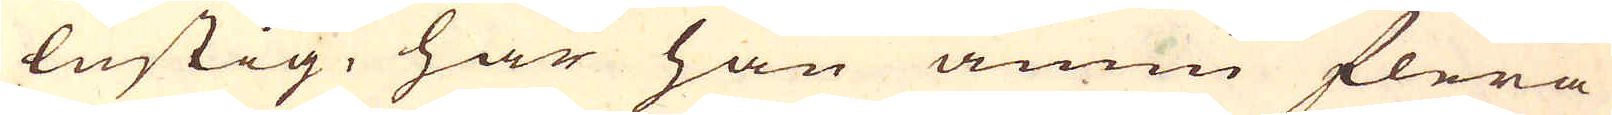lustig, här han ännu flera
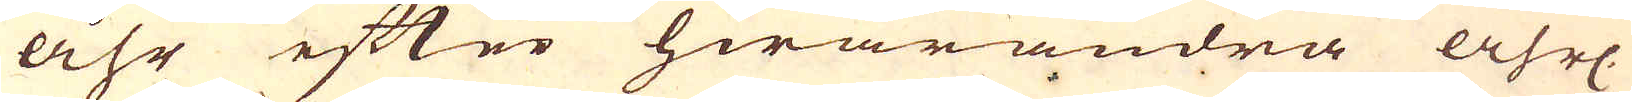åhr efter hwarandra åhrl.
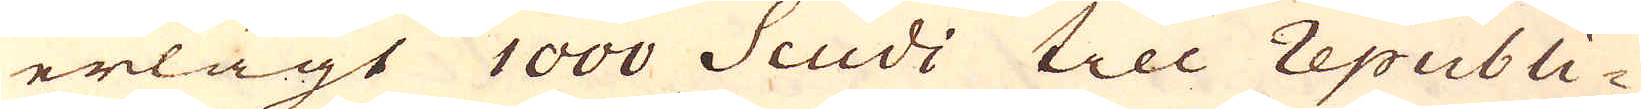erlagt 1000 Scudi till republi-
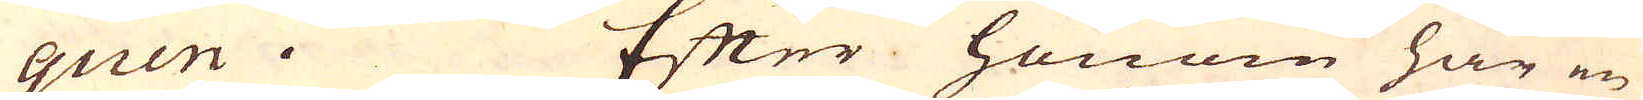quen. Efter honom har en
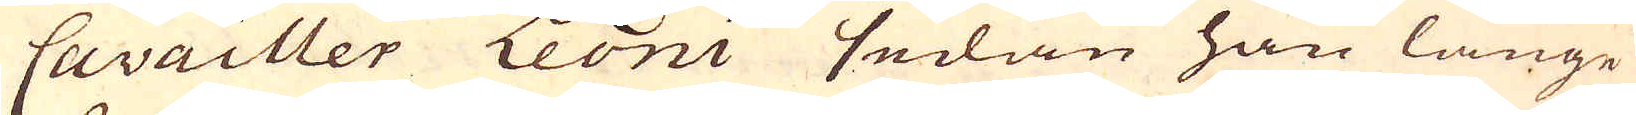Cavailler Leoni sedan han länge
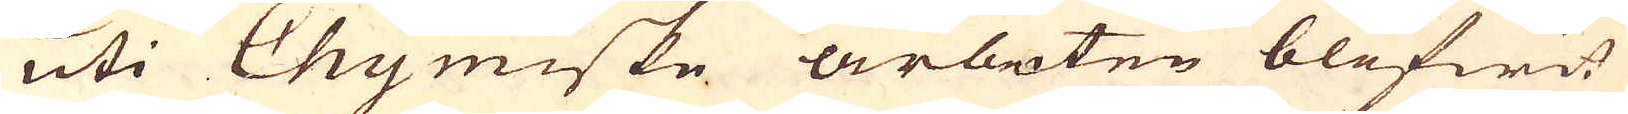uti Chymiske arbeten blifwit
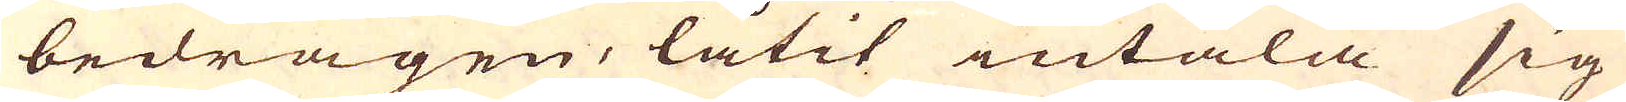bedragen, låtit intala sig
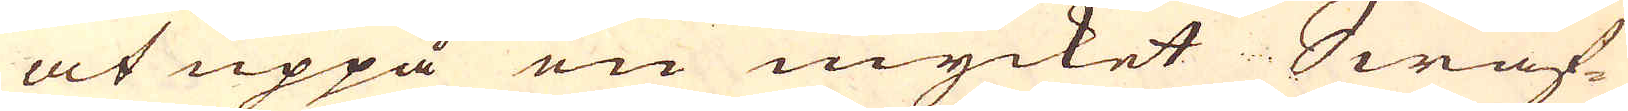at uppå en mycket Swaf-
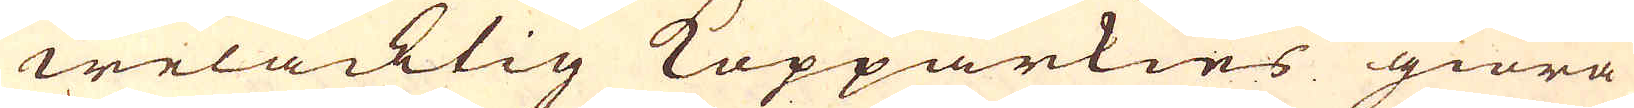welacktig Kopparkies giöra
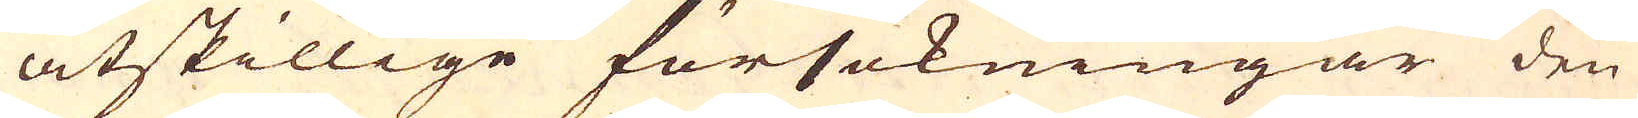åtskillige försökningar den
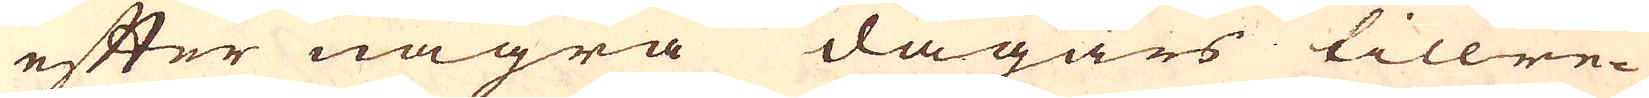efter några dagars tillre-
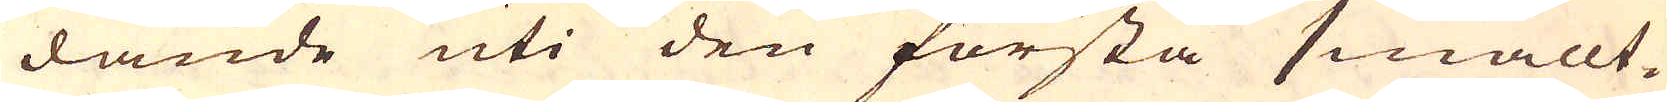dande uti den första smällt-
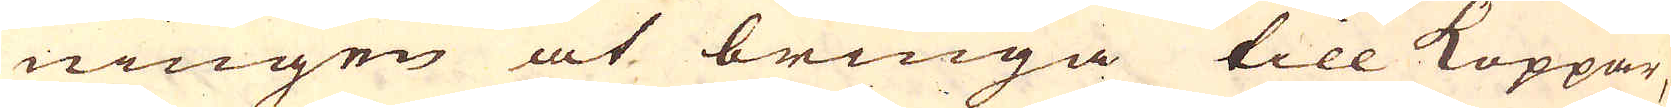ningen at bringa till Koppar,
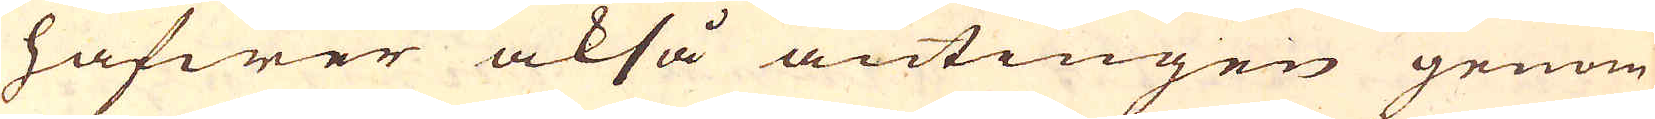hafwer också antingen genom
